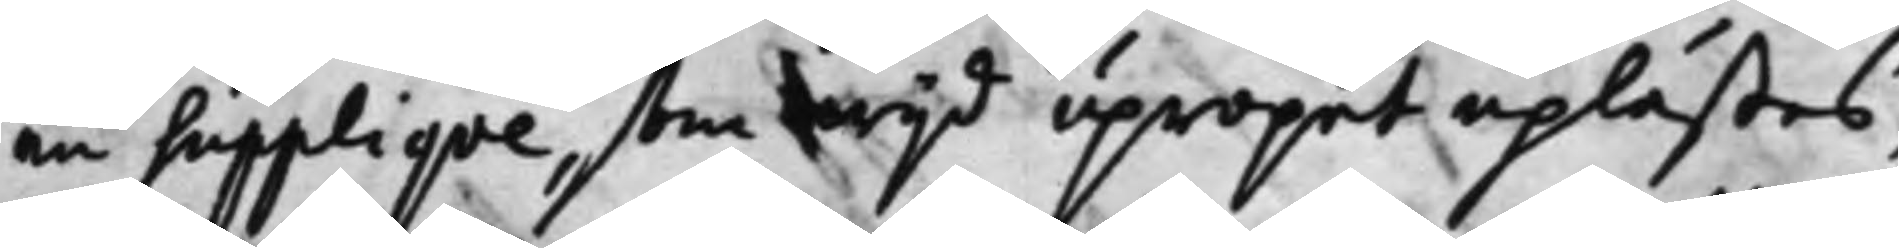en Supplique, som wijd upropet uplästes,
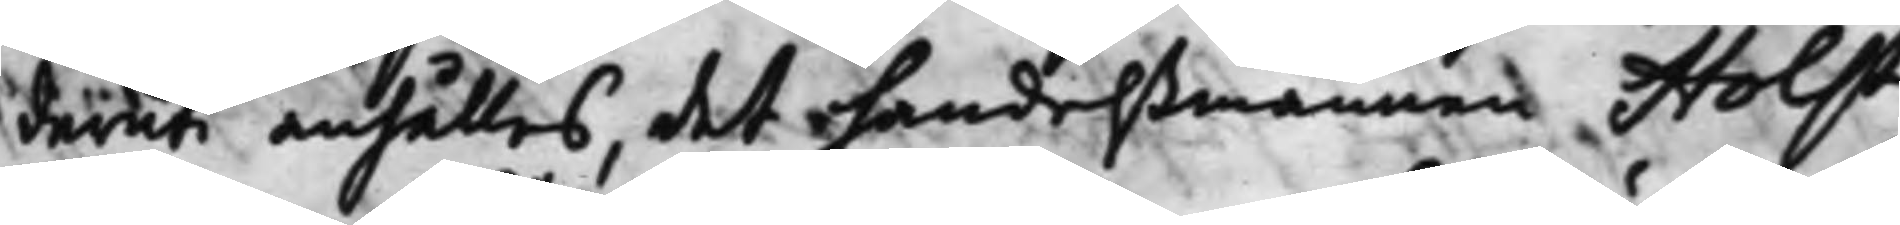däruti anhålles, det handelßmannen Holst
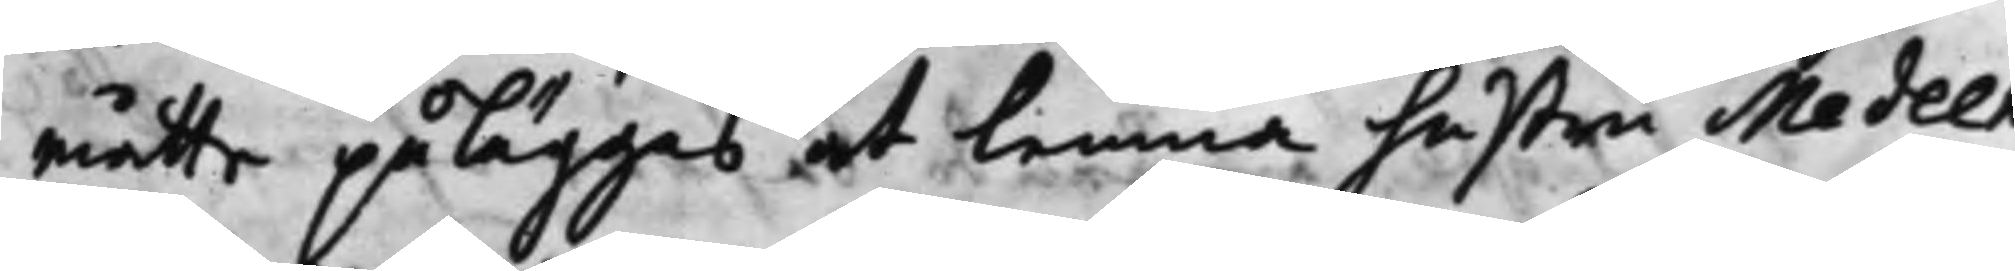måtte påläggas at lemna hustru Medeen
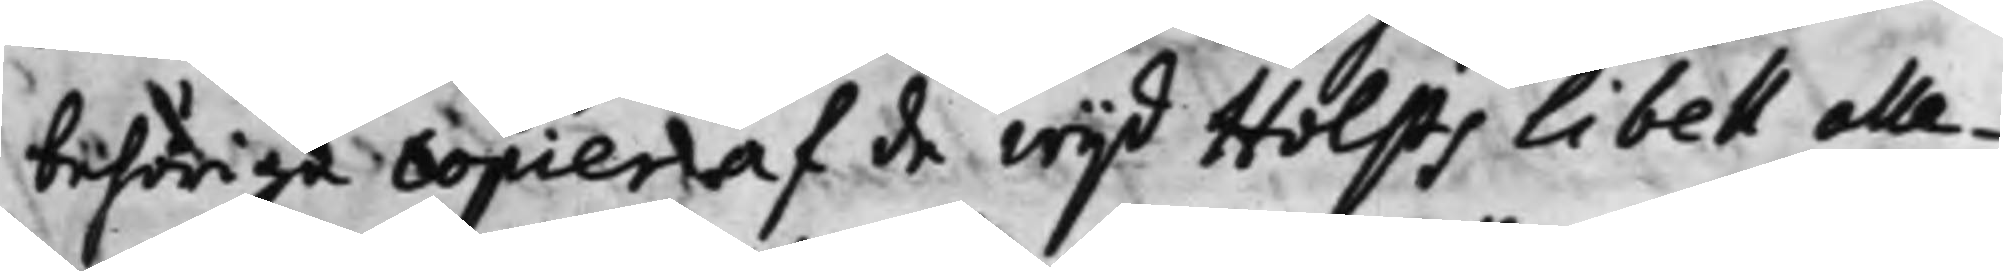behörige copier af de wijd Holsts Libell alle¬
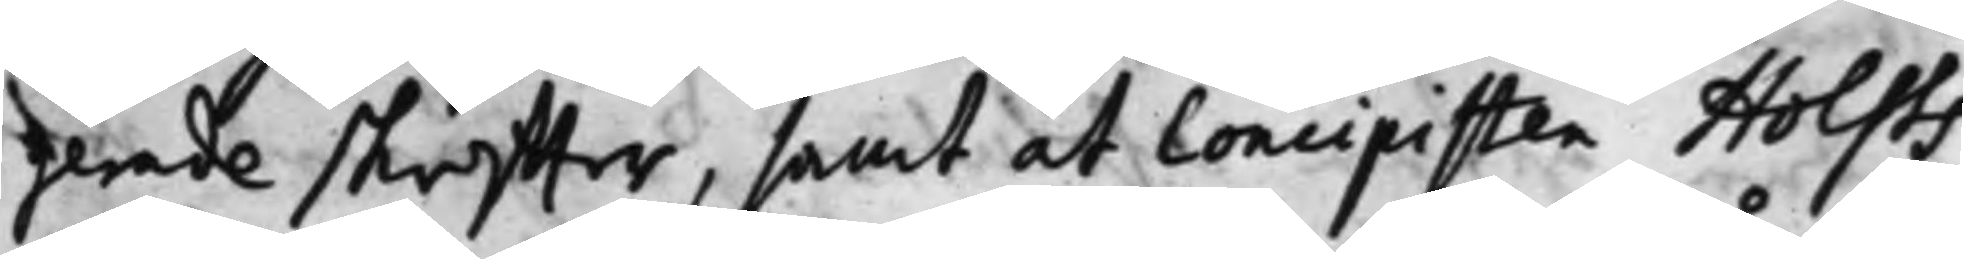gerade skriffter, samt at Concipisten Holsts
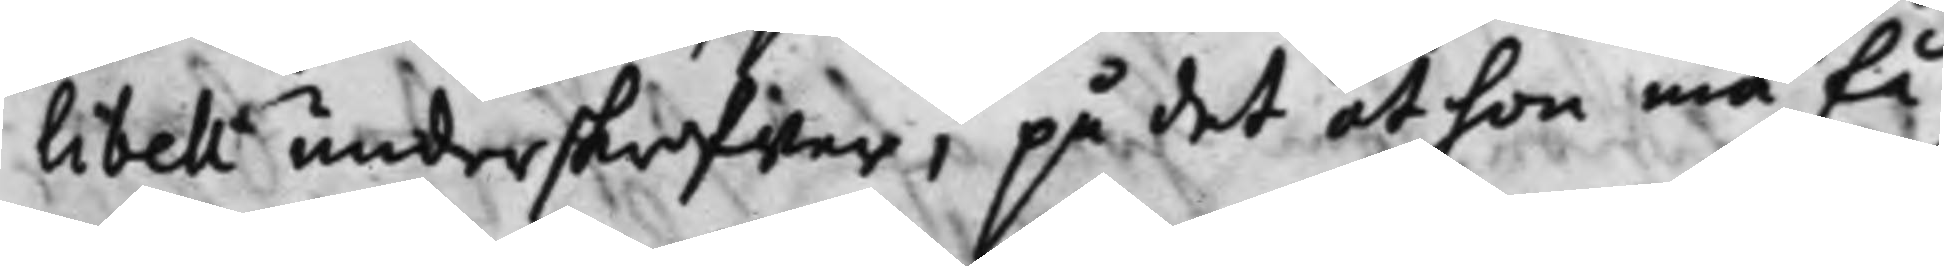Libell underskrifwer, på det at hon må få
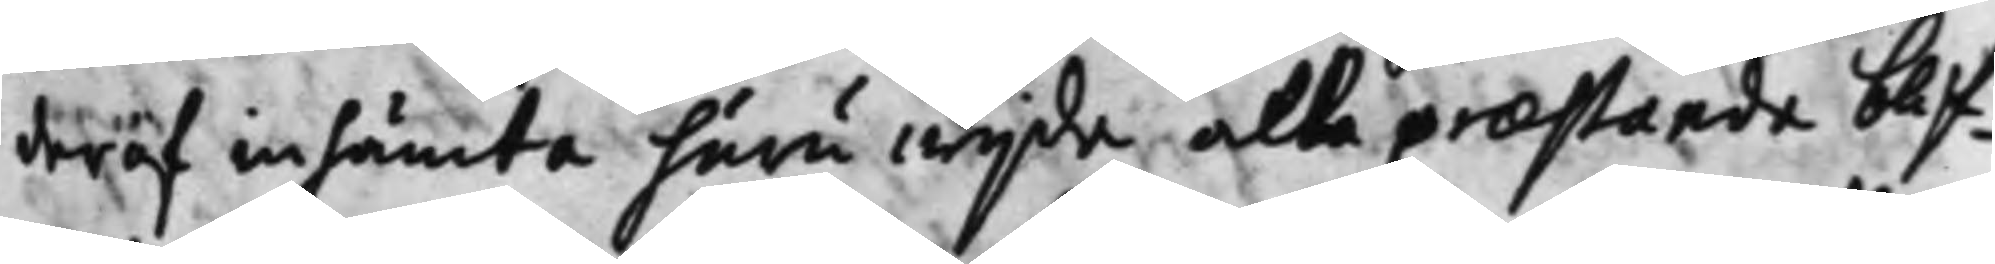deraf inhämta huru wijda alla praestanda blif¬
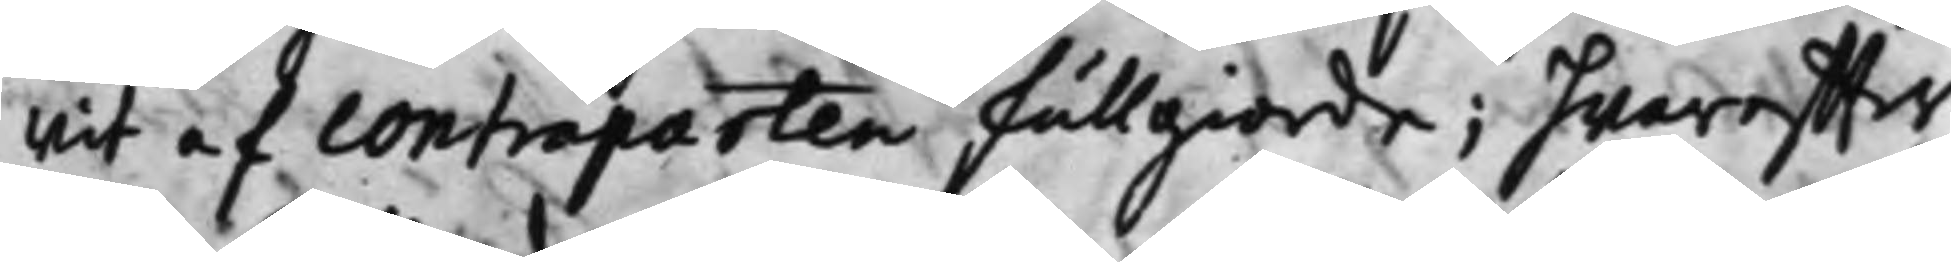wit af Contraparten fullgiorde; hwareffter
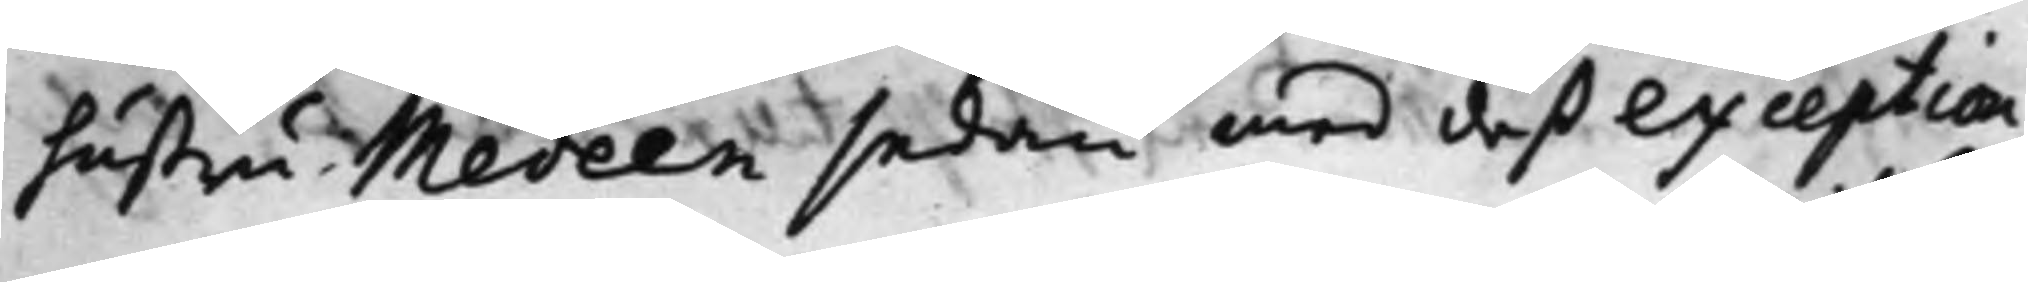hustru Medeen sedan med deß exception
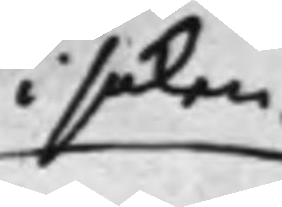i saken
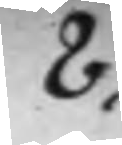8.
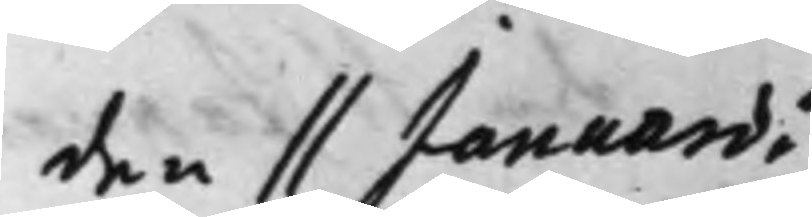den 11 Januarii
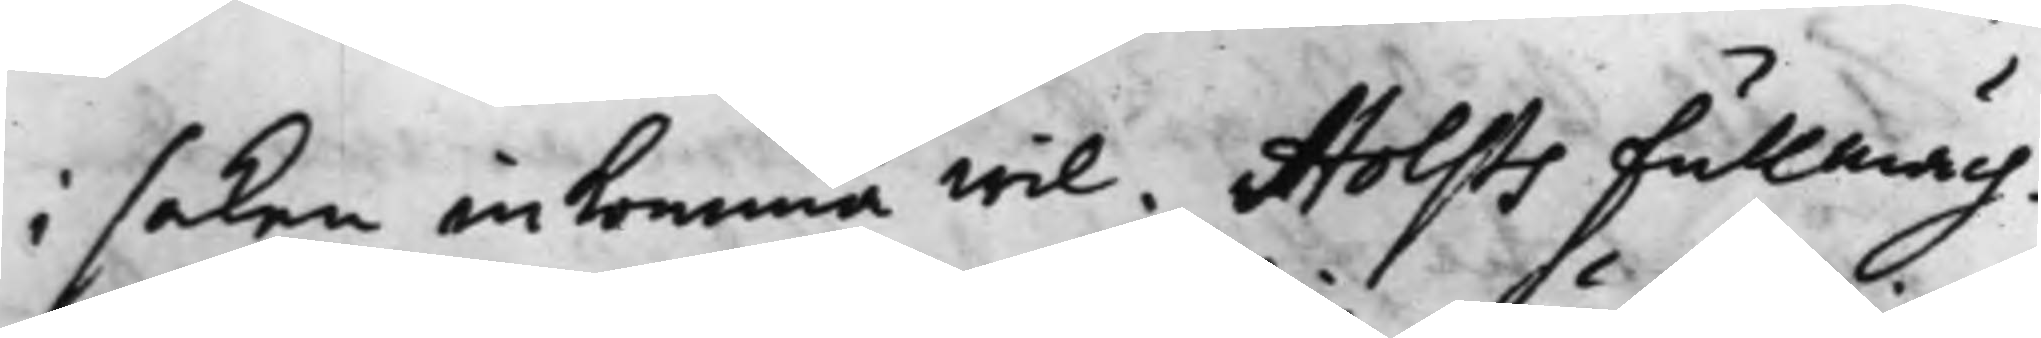i saken inkomma wil. Holsts Fullmäch¬
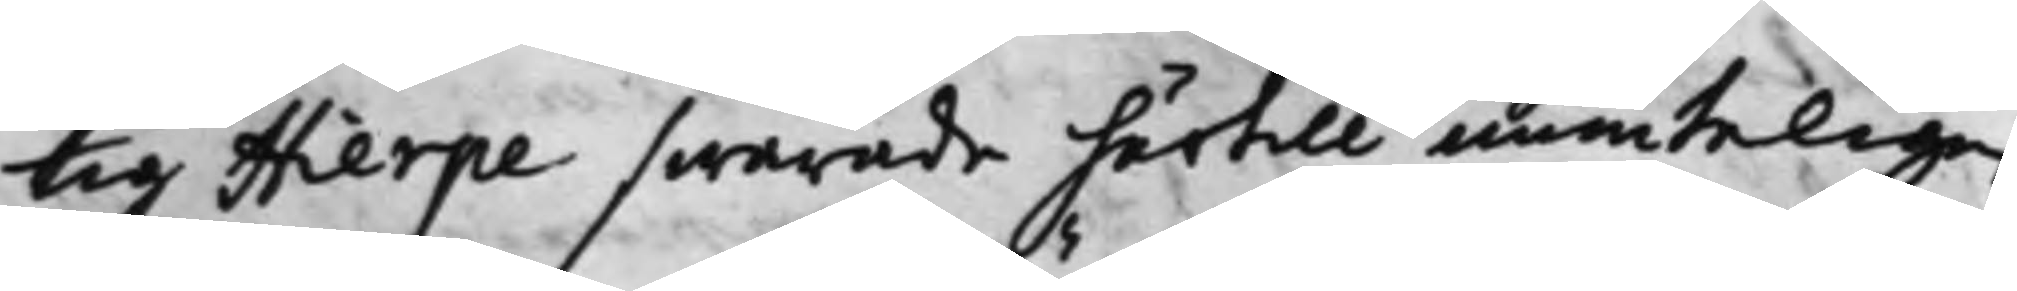tig Hierpe swarade härtill munteligen
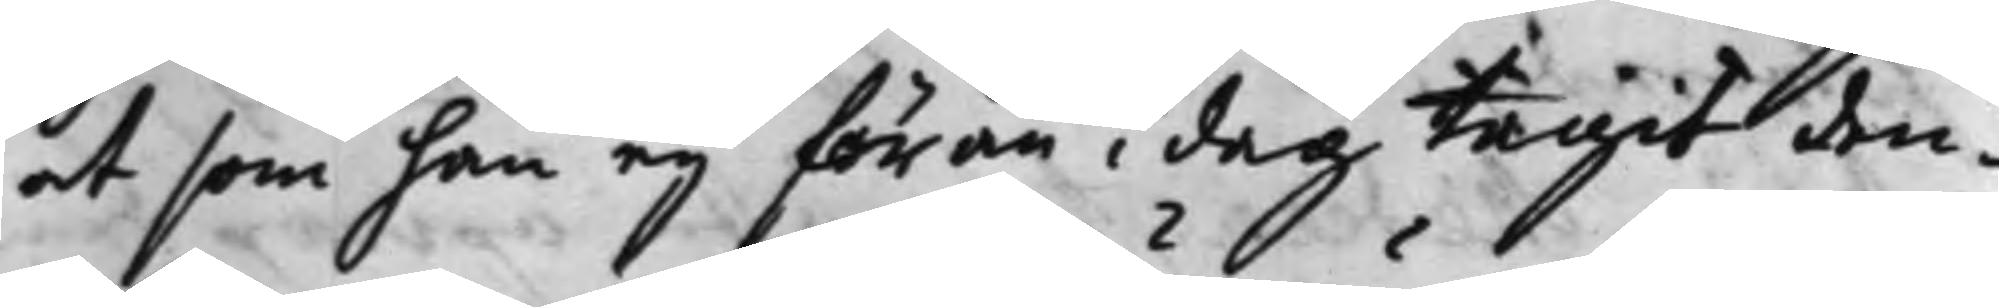at som han ej förän i dag tagit den¬
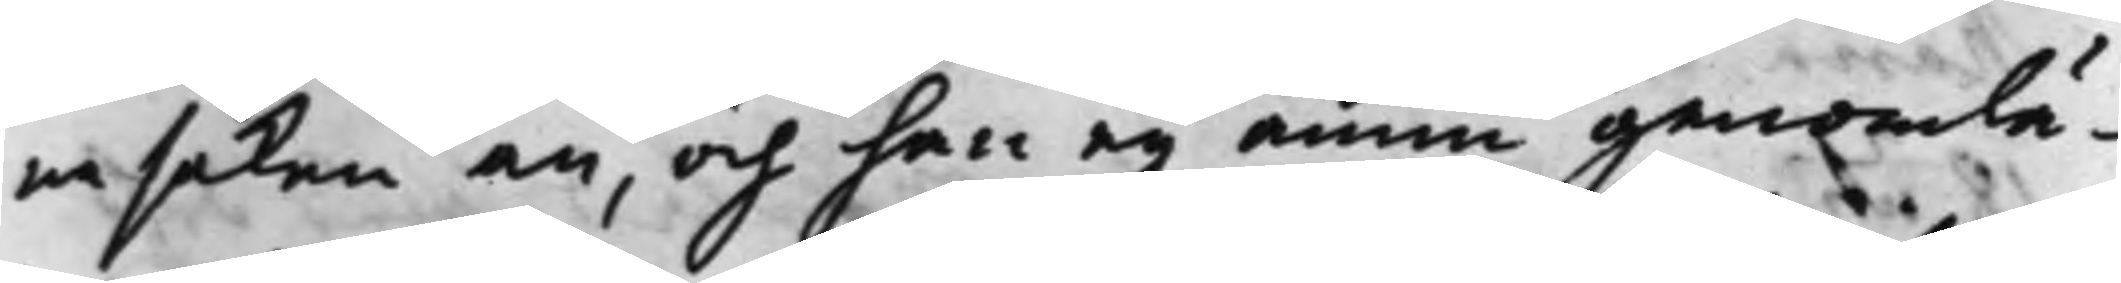na saken an, och han ej ännu genomlä¬
